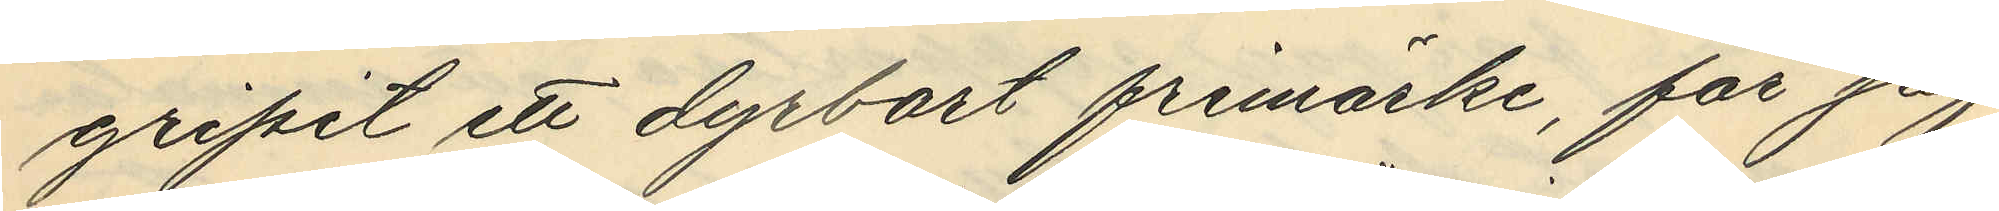gripit ett dyrbart frimärke, får jag
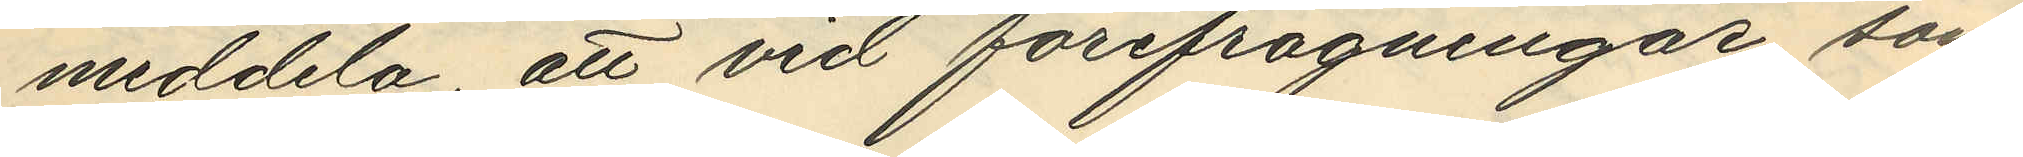meddela, att vid förifrågningar som
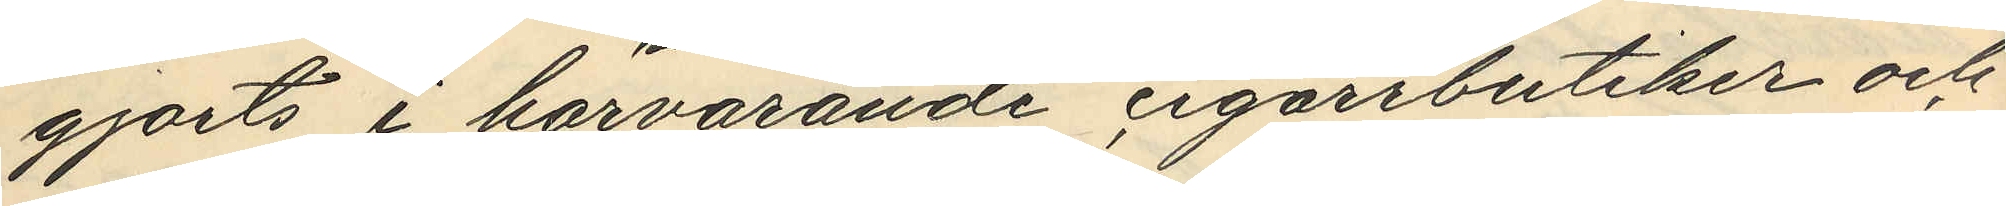gjorts i härvarande cigarrbutiker och
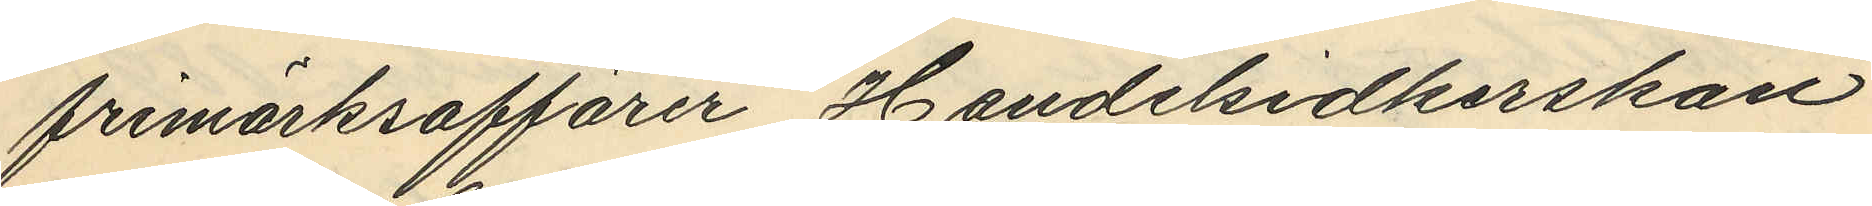frimärksaffärer Handelsidkerskan
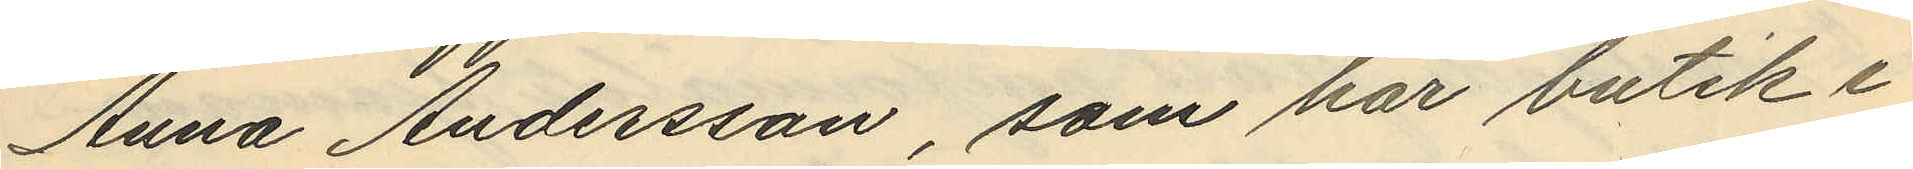Anna Andersson, som har butik i
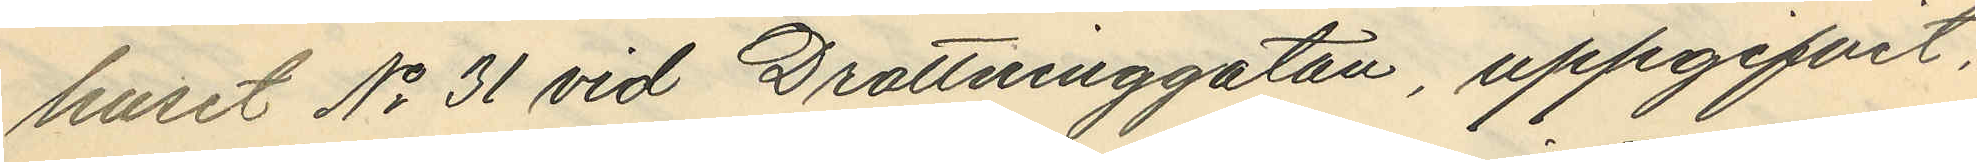huset No 31 vid Drottninggatan, uppgifvit,
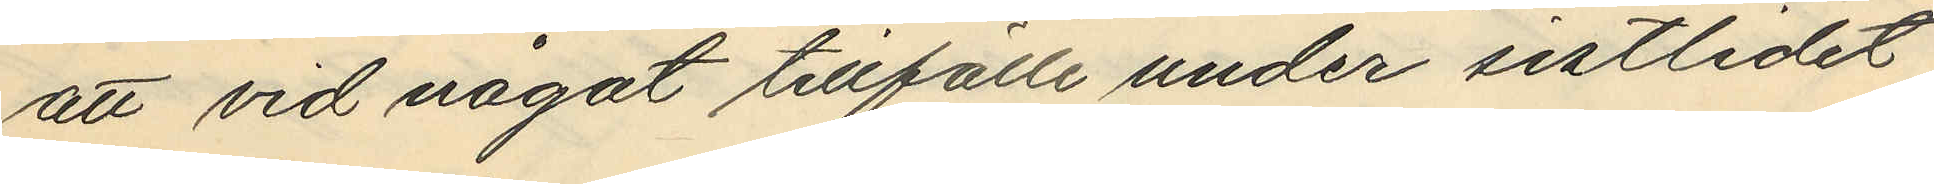att vid något tillfälle under sistlidet
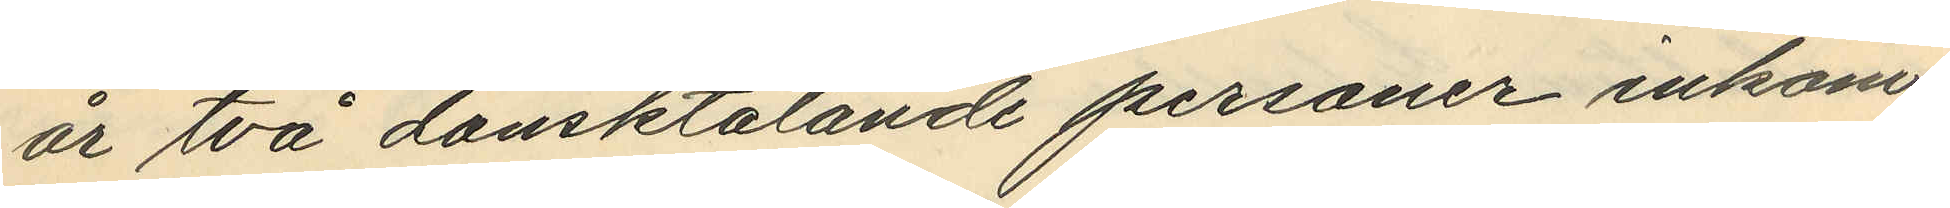är två dansktalande personer inkom¬
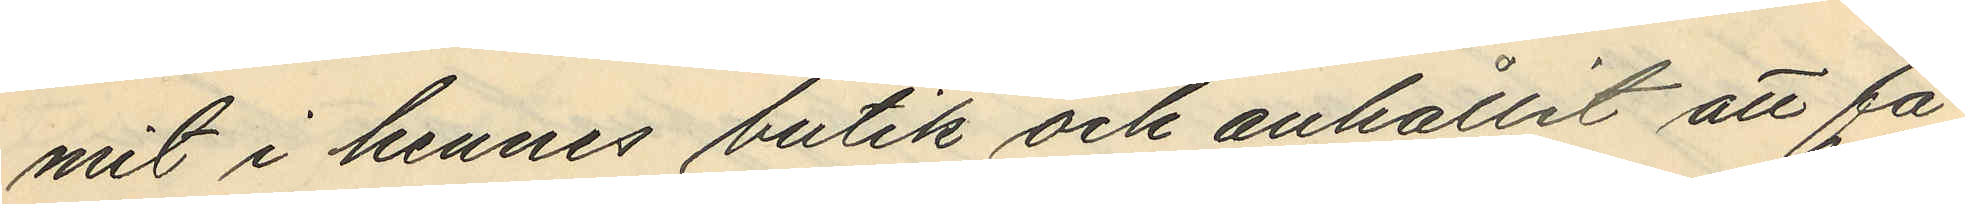mit i hennes butik och anhållit att få
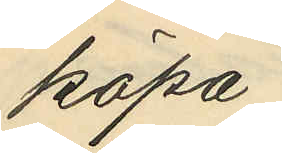köpa
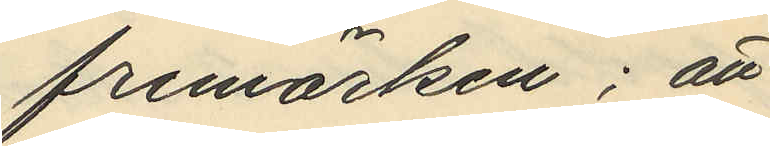frimärken; att
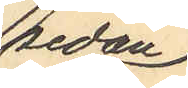sedan
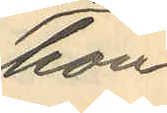hon
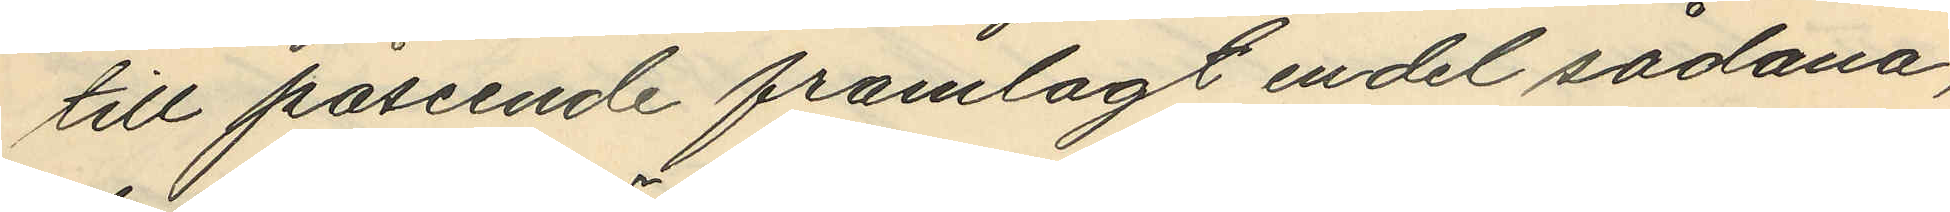till påseende framlagt endel sådana,
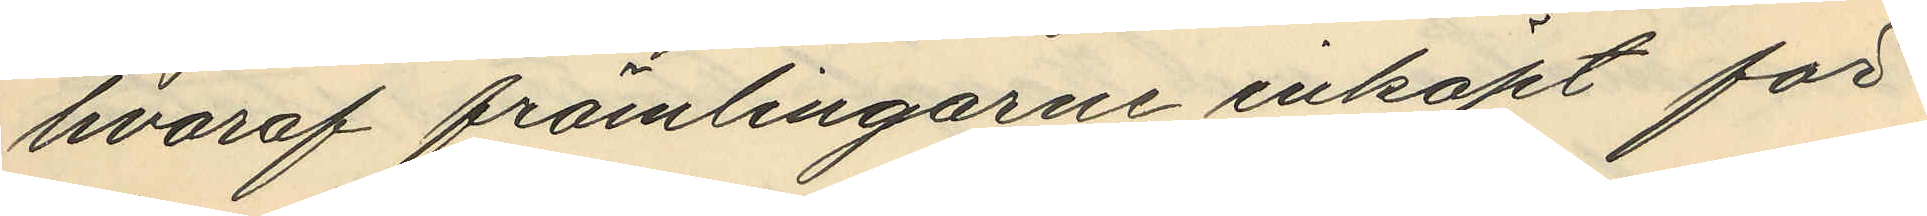hvaraf främlingarne inköpt för
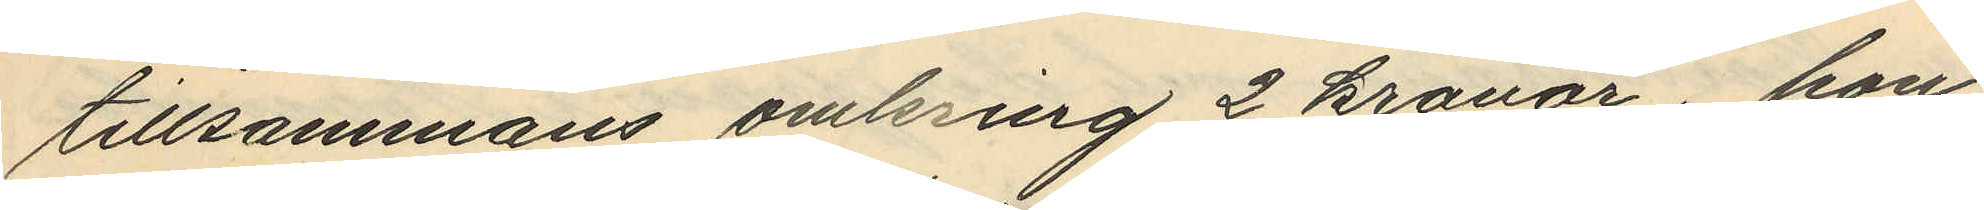tillsammans omkring 2 kronor, hon
